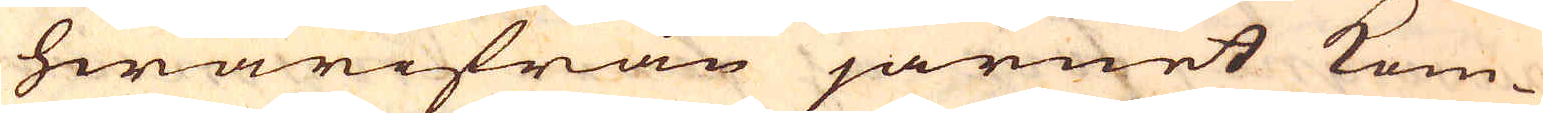hwarifrån järnet kom-
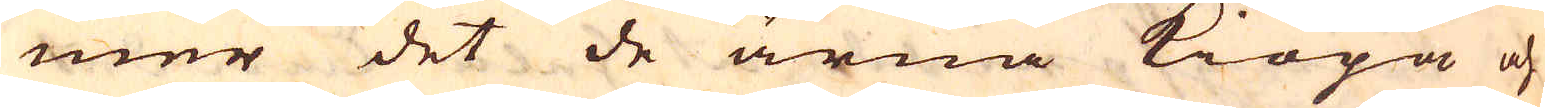mer det de ärna kiöpa och
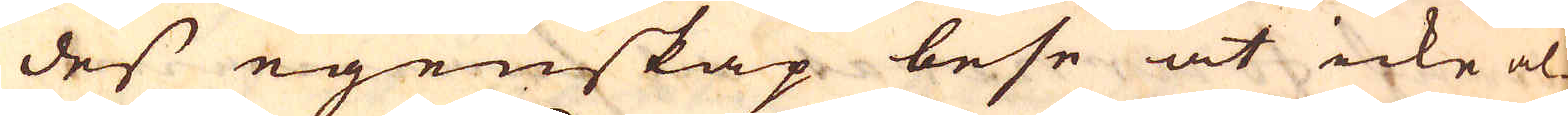des egenskap bese at icke al-
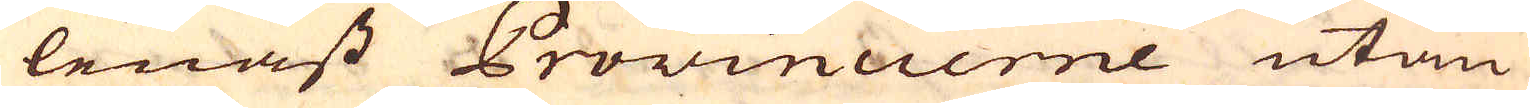lenast Provincierne utan
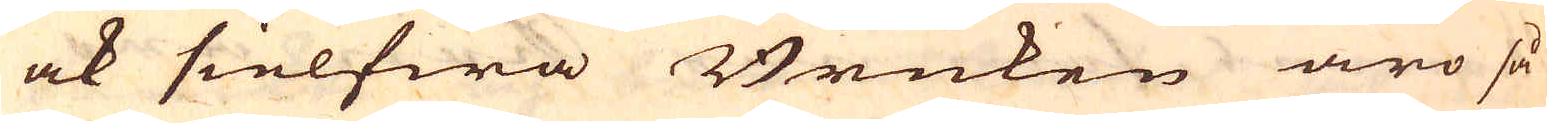ock sielfwa Bruken äro så
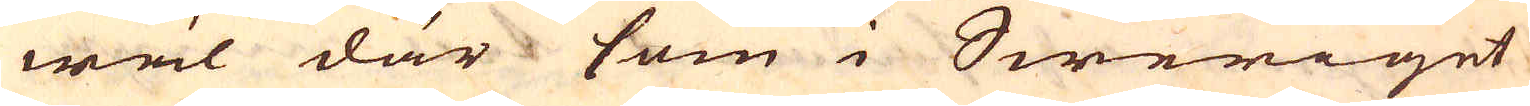wäl där som i Sweriget
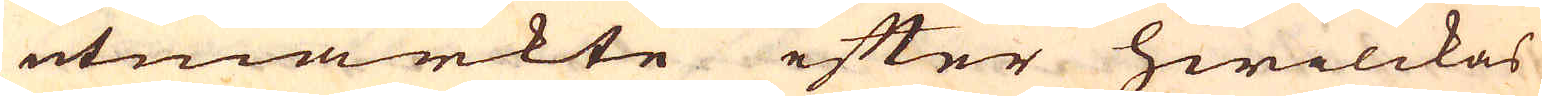utmärkte efter hwilckas
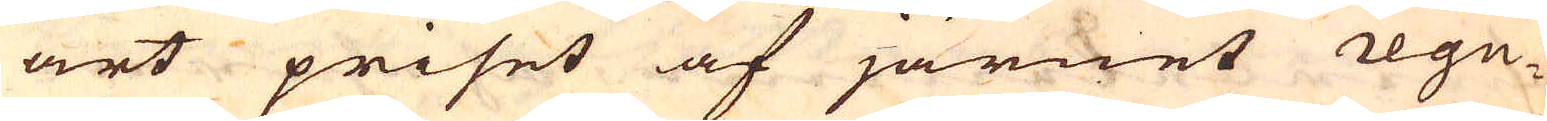art priset af järnet regu-
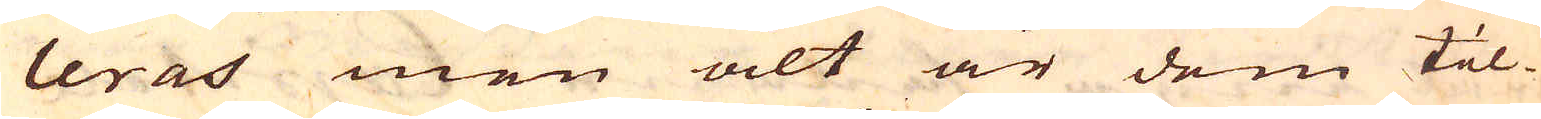leras men alt är dem til-
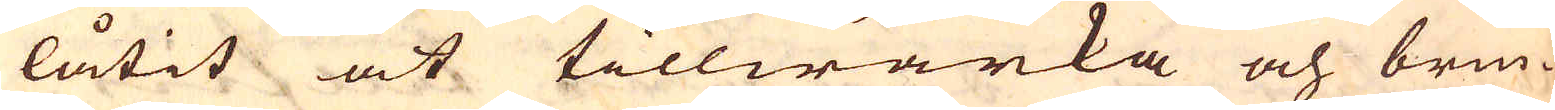låtit at tillwärka och brin-
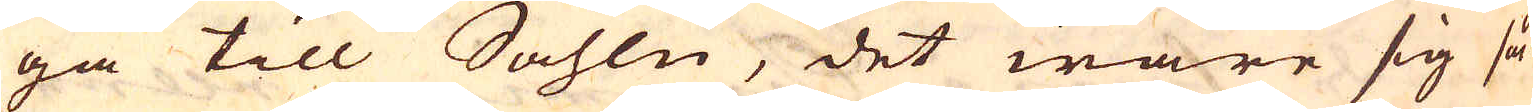ga till Sahlu, det ware sig så
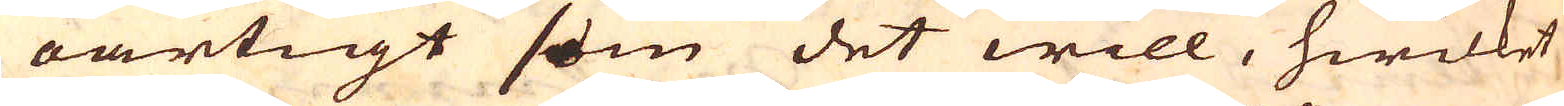oartigt som det will, hwilket
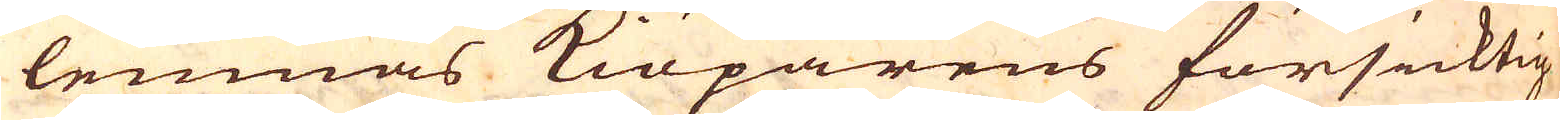lemnas kiöparens försicktig-
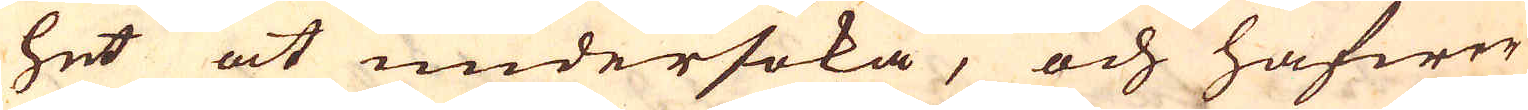het at undersöka, och hafwer
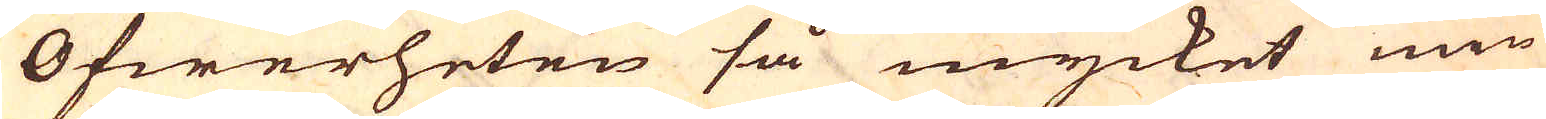Öfwerheten så mycket min-
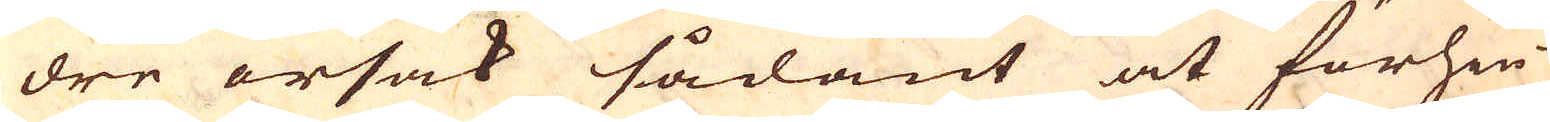dre orsak sådant at förhin-
